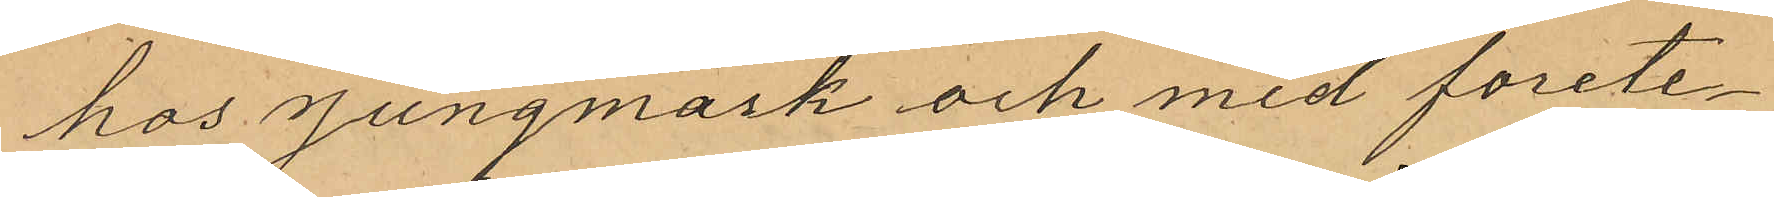hos Jungmark och med forete¬
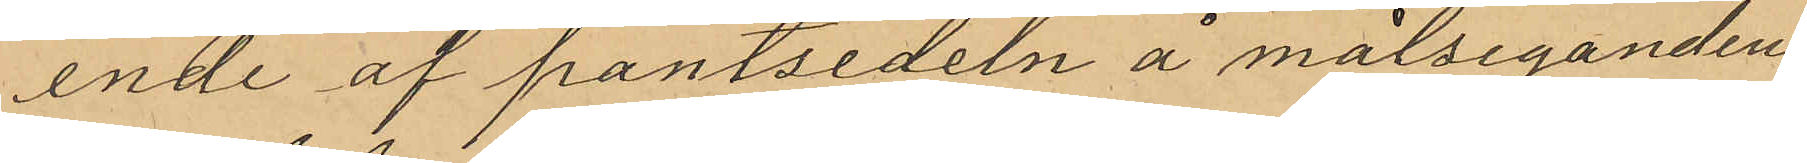ende af pantsedeln å målseganden
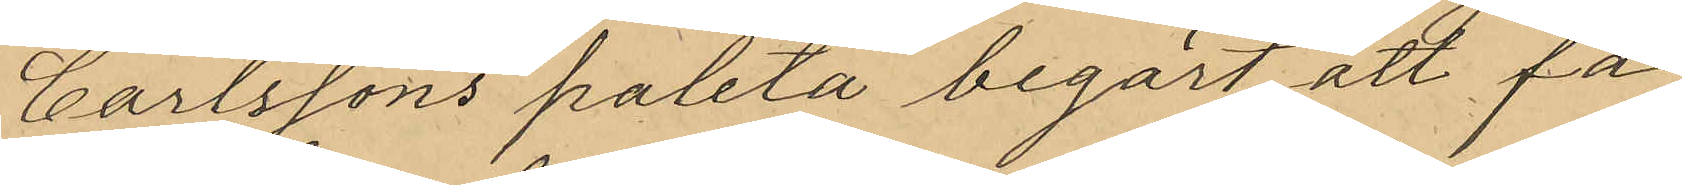Carlssons paletå begärt att få
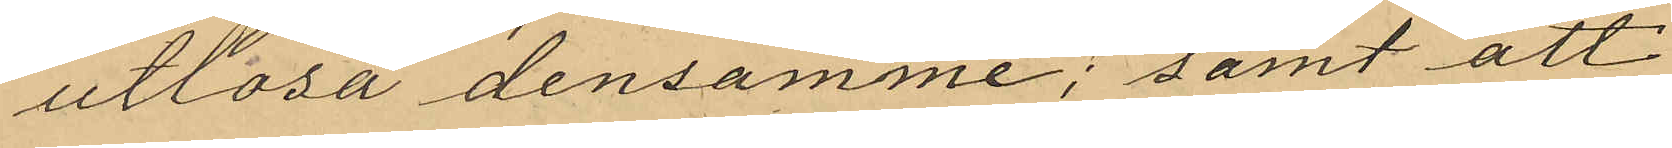utlösa densamme; samt att
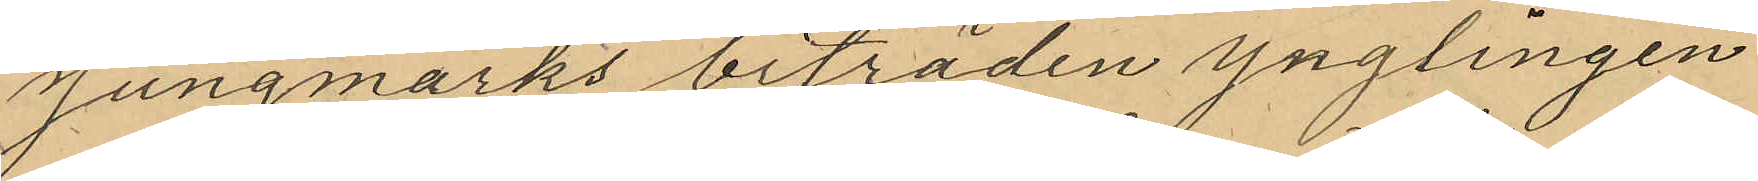Jungmarks biträden ynglingen
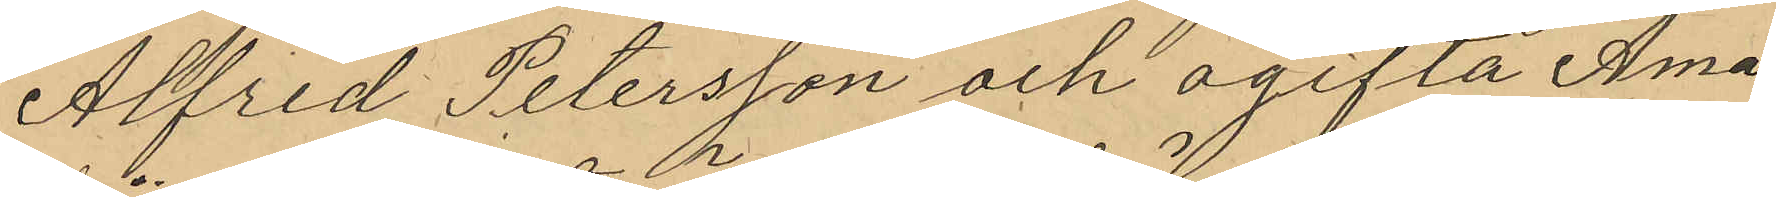Alfred Petersson och ogifta Ama¬
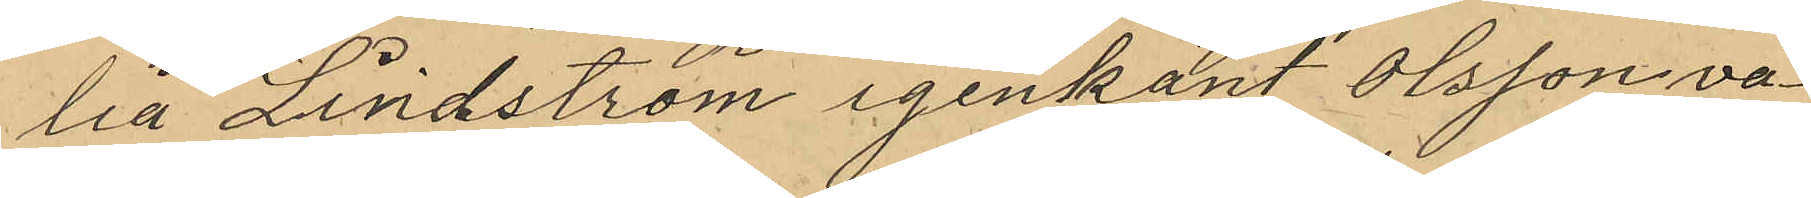lia Lindström igenkänt Olsson va¬
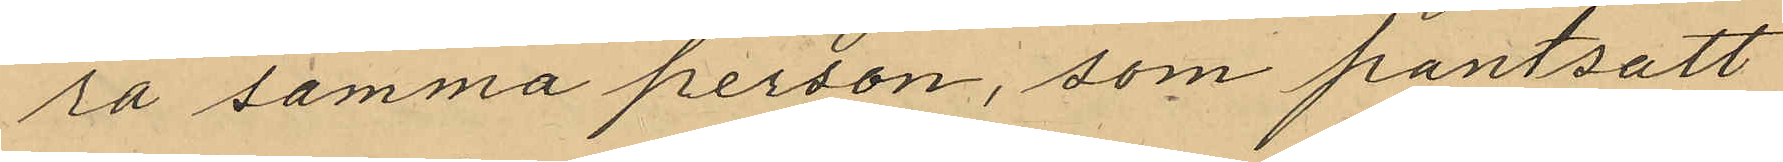ra samma person, som pantsatt
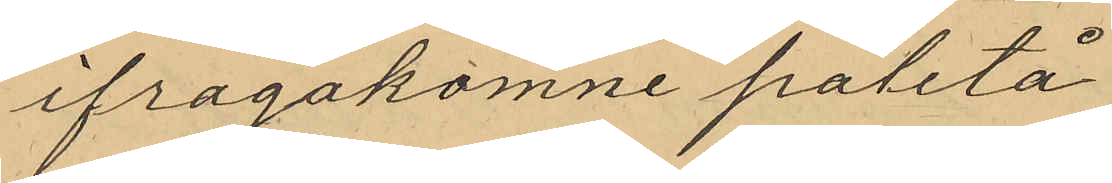ifragakomne paletå
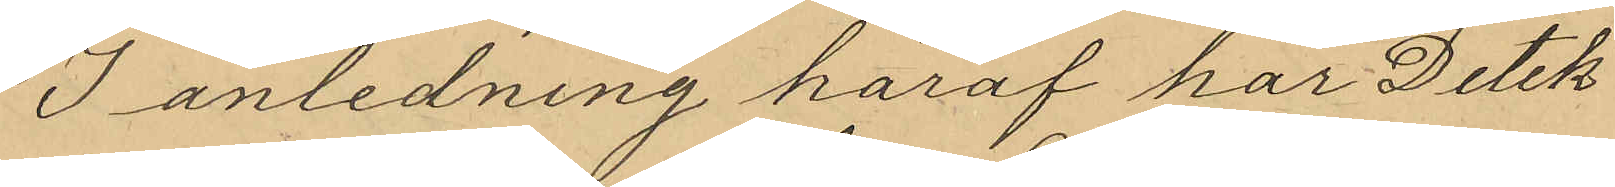I anledning häraf har Detek¬
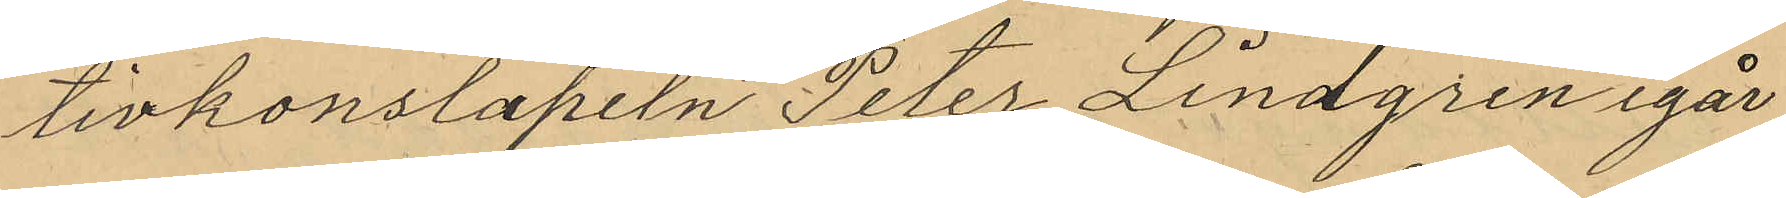tivkonstapeln Peter Lindgren igår
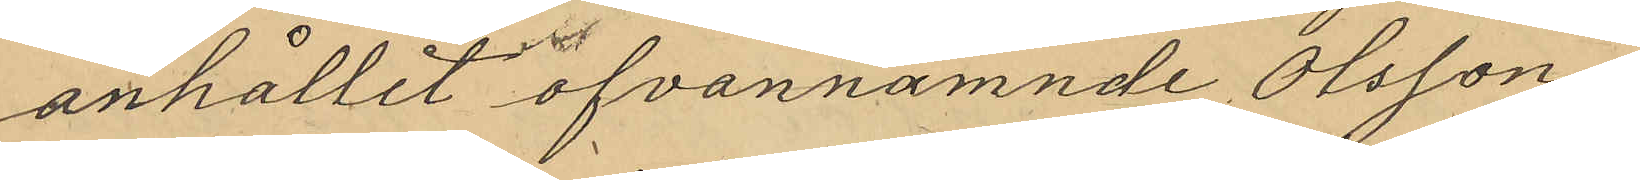anhållit ofvannamnde Olsson
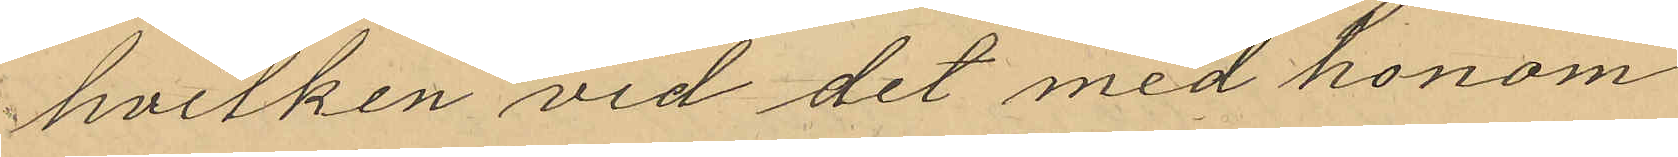hvilken vid det med honom
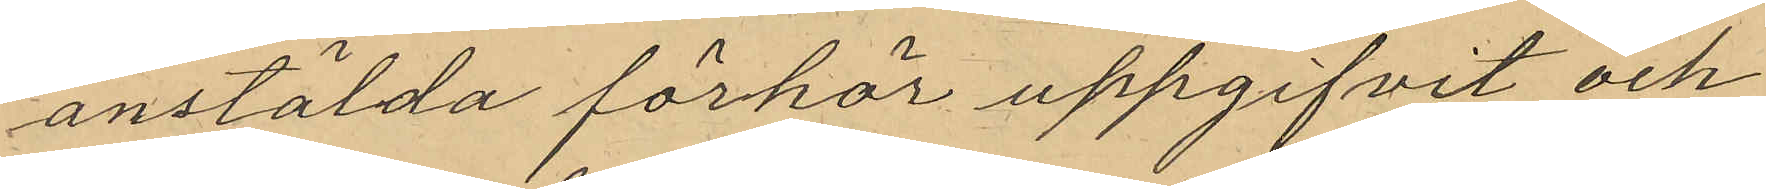anstälda förhör uppgifvit och
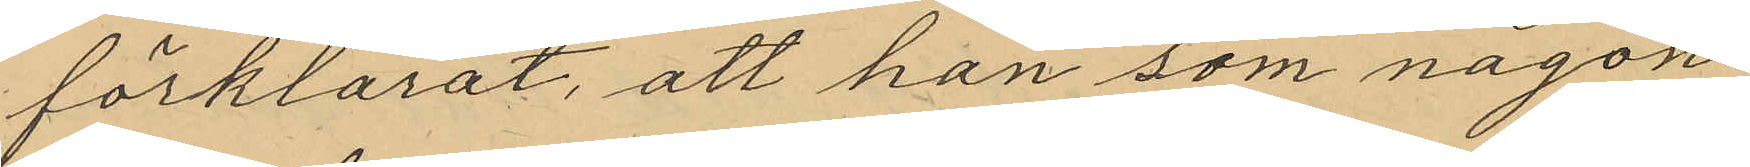förklarat, att han som någon
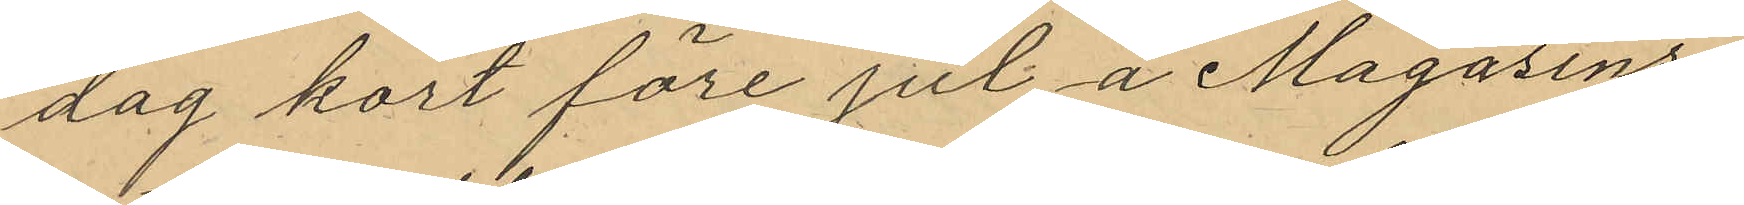dag kort före jul å Magasins¬
